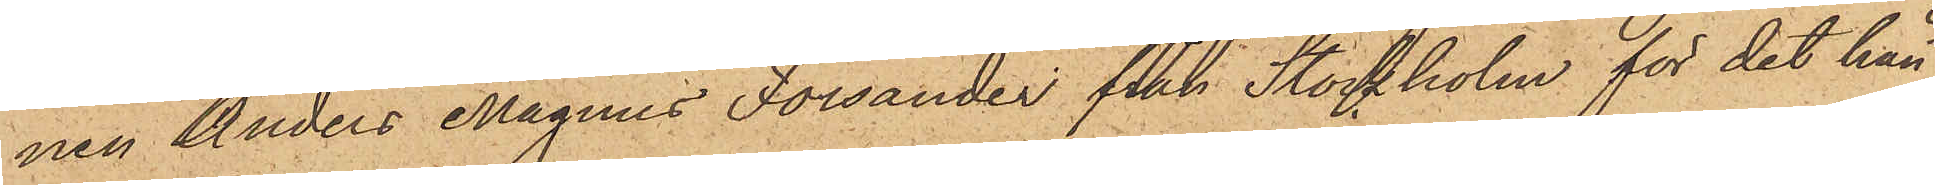nen Anders Magnus Forsander från Stockholm för det han
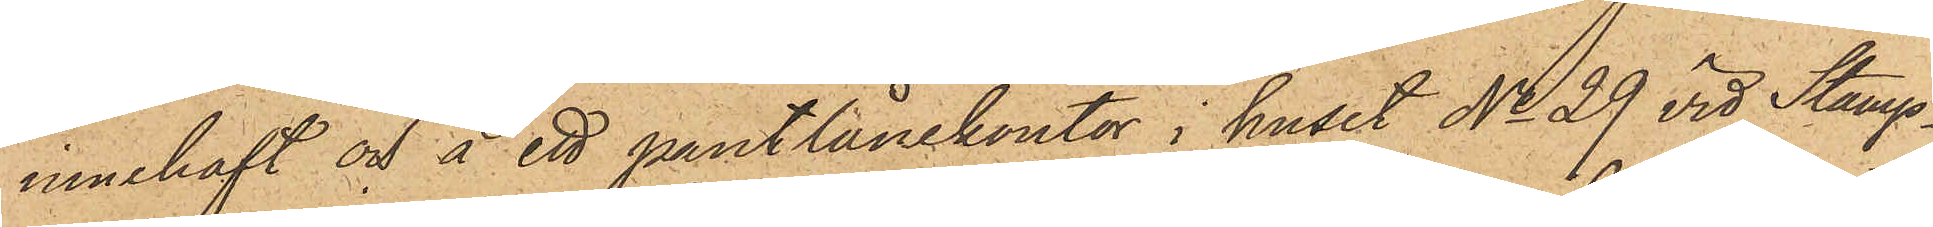innehaft och å ett pantlånekontor i huset No 29 vid Stamp¬
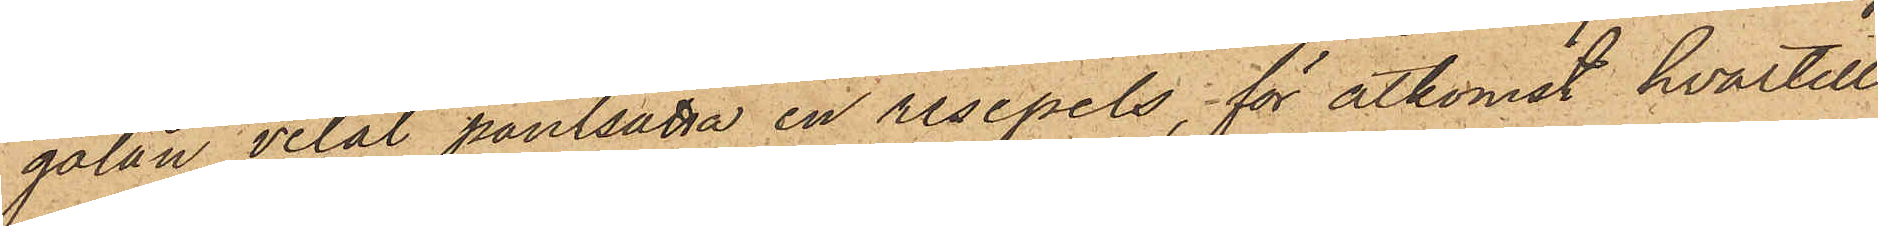gatan velat pantsatta en resepels för åtkomst hvartill
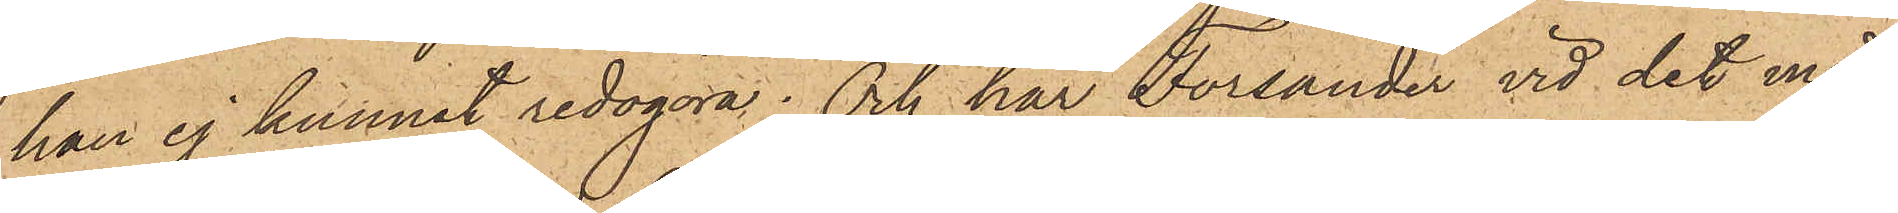han ej kunnat redogöra; Och har Forsander vid det med
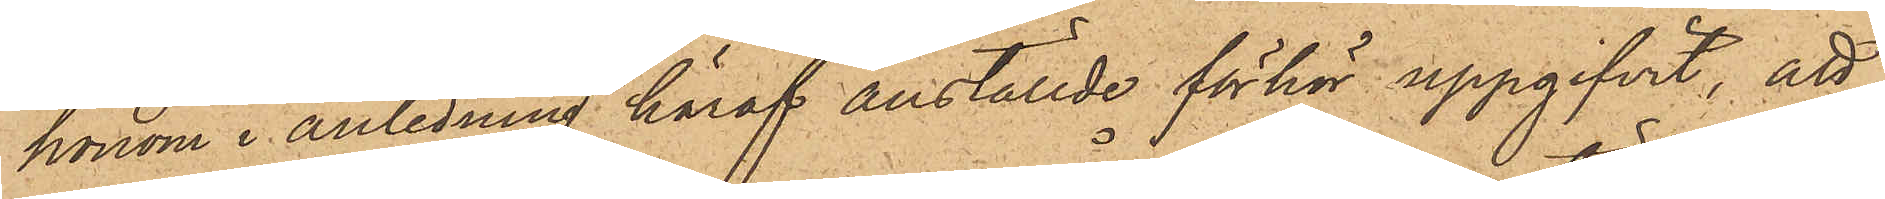honom i anledning häraf anställde förhör uppgifvit, att
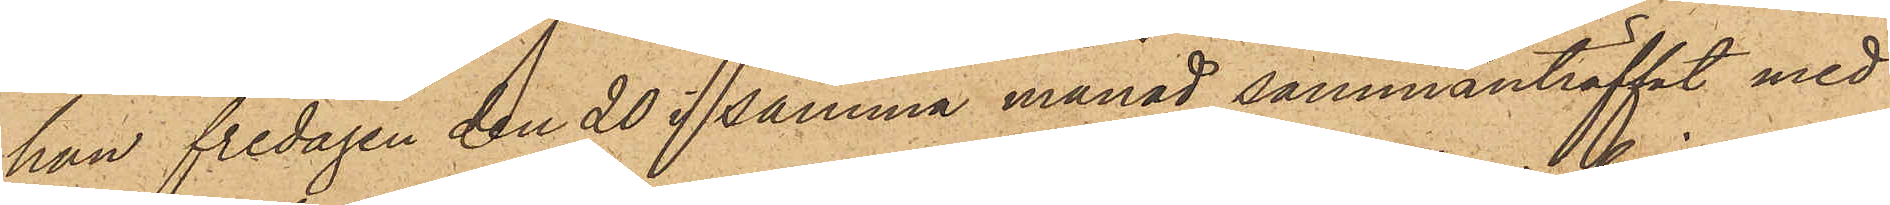han Fredagen den 20 i samma månad sammanträffat med
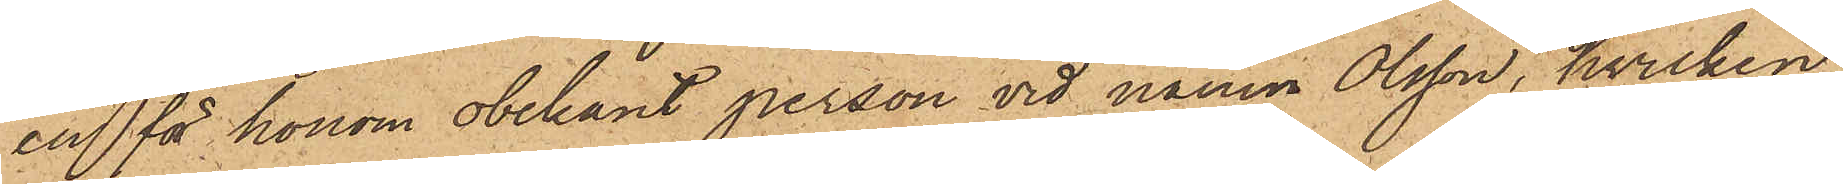en för honom obekant person vid namn Olsson, hvilken
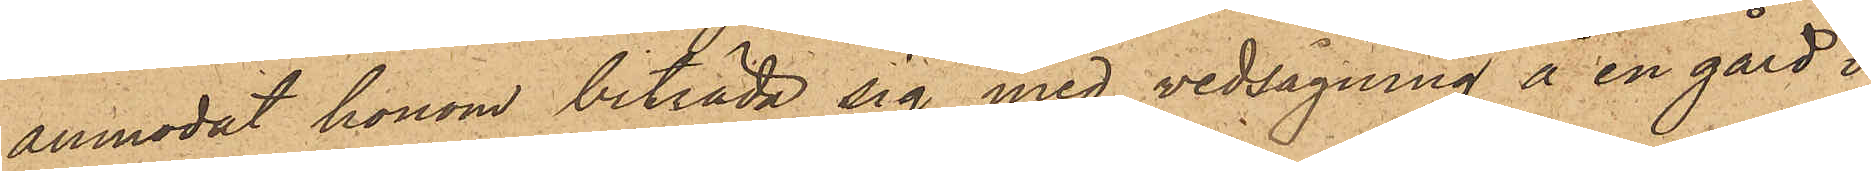anmodat honom biträda sig med vedsagning å en gård i
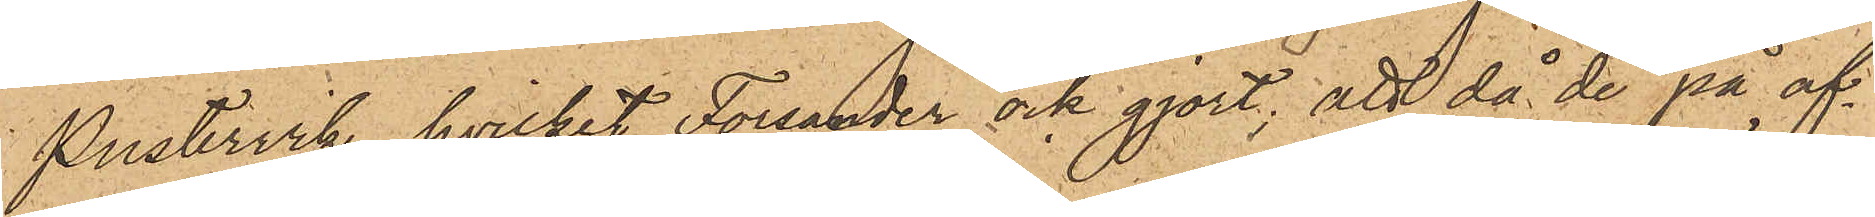Pustervik, hvilket Forsander ock gjort; att då de på af¬
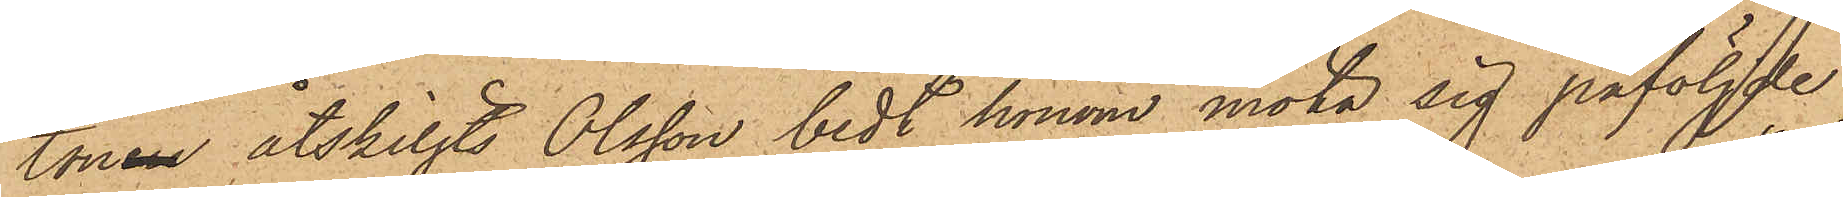tonen åtskiljts Olsson bedt honom möta sig påföljde
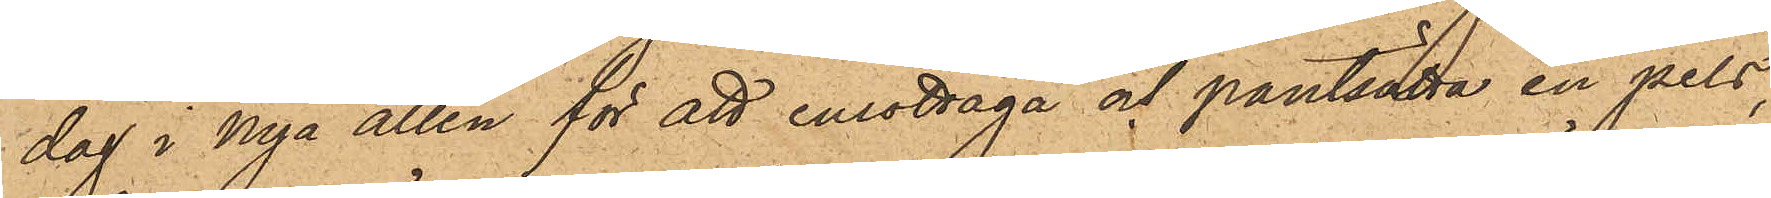dag i Nya allén för att emottaga och pantsatta en pels,
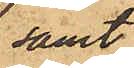samt
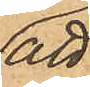att
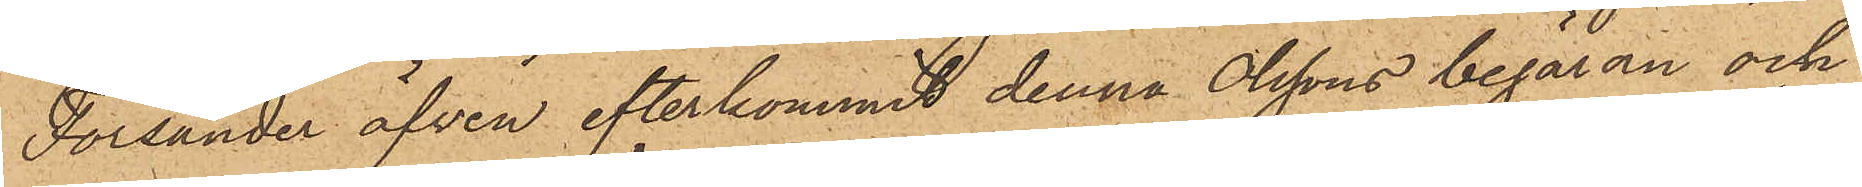Forsander äfven efterkommit denna Olssons begäran och
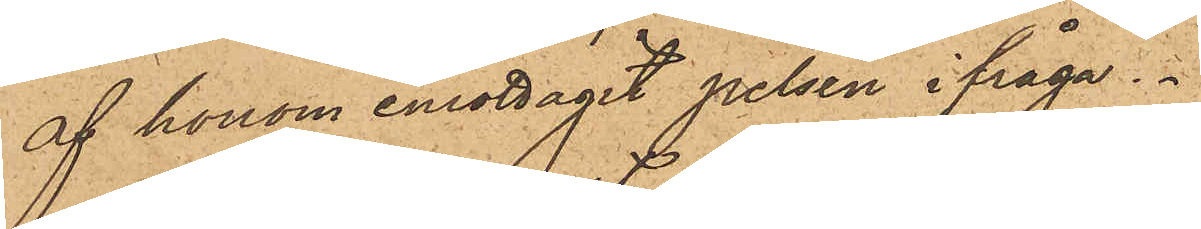af honom emottagit pelsen ifråga
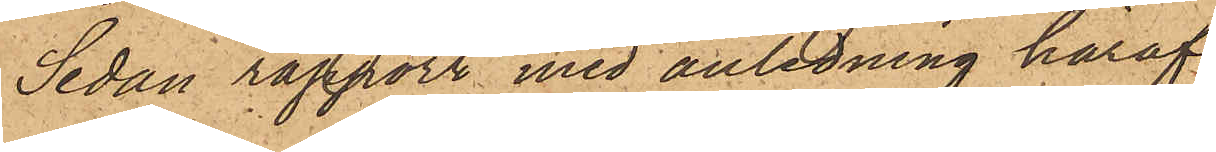Sedan rapport med anledning häraf
